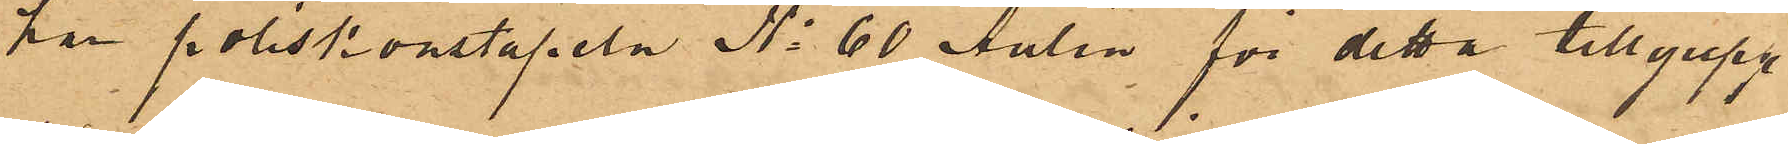har poliskonstapeln No 60 Aulin för detta tillgrepp
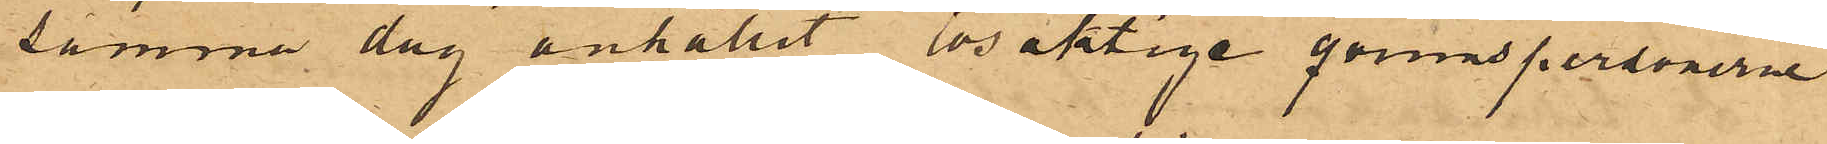samma dag anhållit lösaktige qvinnspersonerne
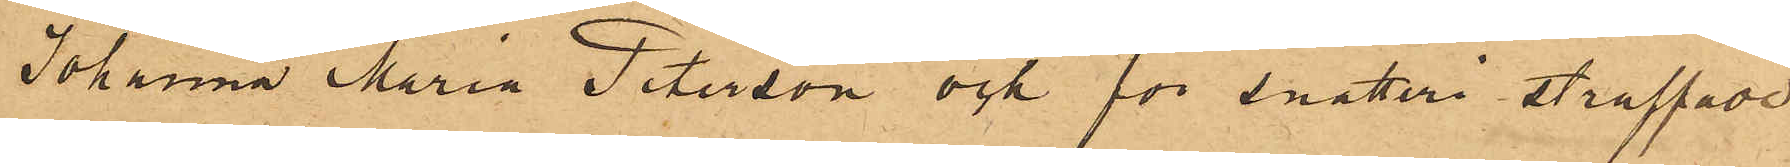Johanna Maria Peterson och för snatteri straffade
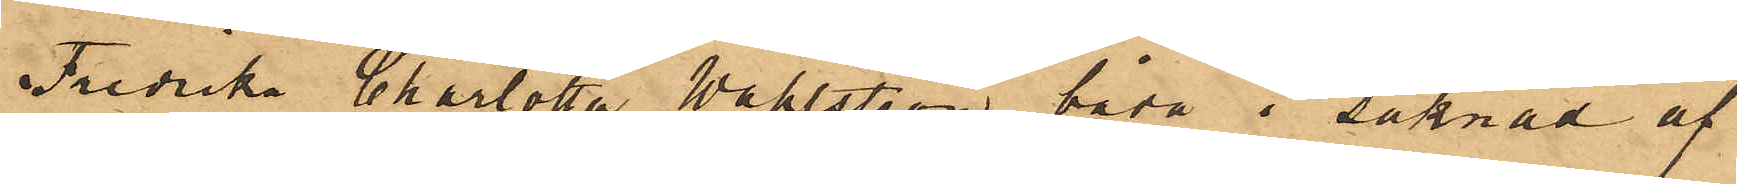Fredrika Charlotta Wahlström båda i saknad af
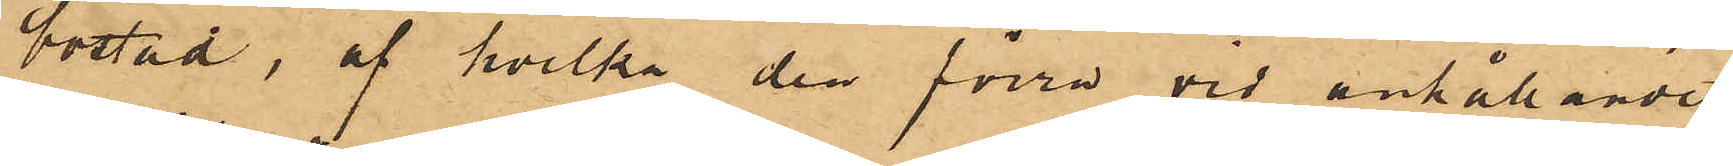bostad, af hvilka den förra vid anhållandet
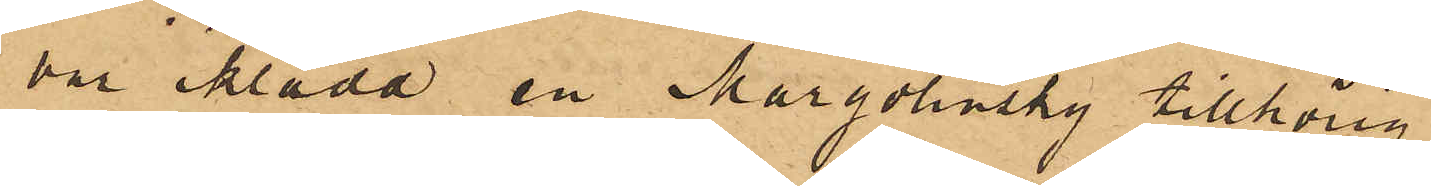var iklädd en Margolinsky tillhörig
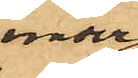under¬
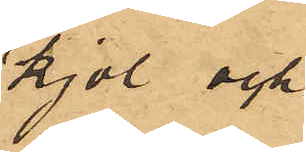kjol och
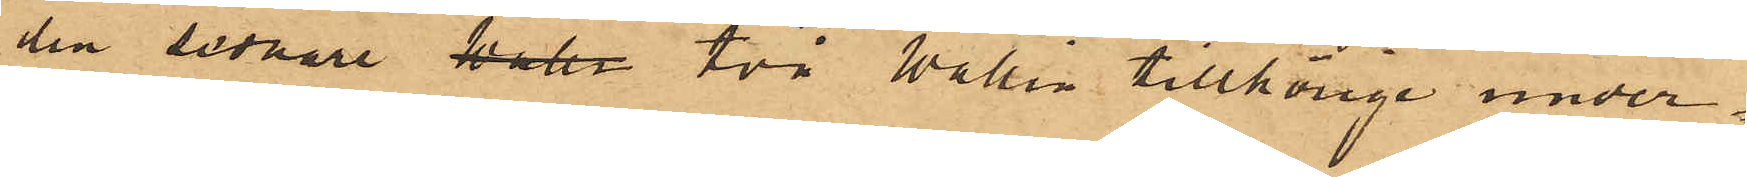den sednare Wall. två Wallin tillhörige under¬
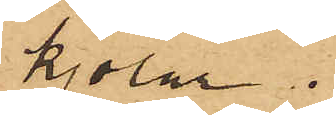kjolar.
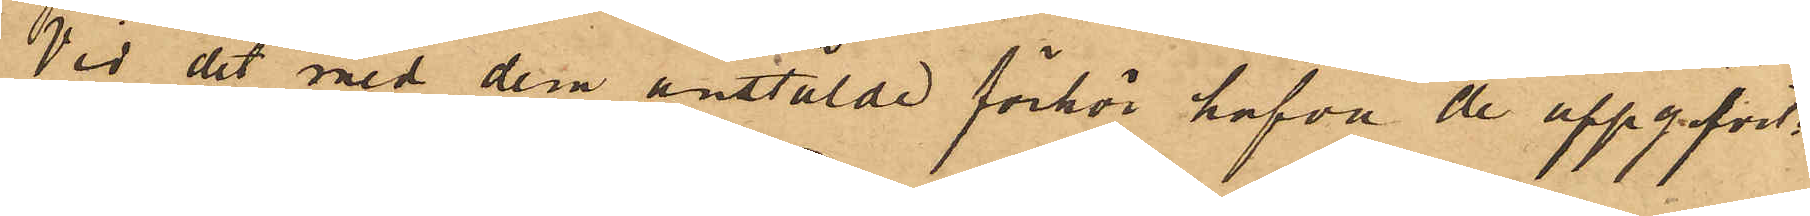Vid det med dem anstälde förhör hafva de uppgifvit:
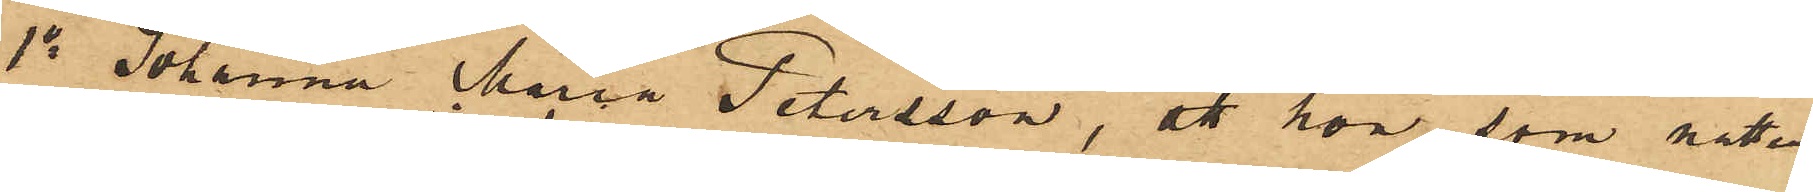1o Johanna Maria Petersson, att hon, som natten
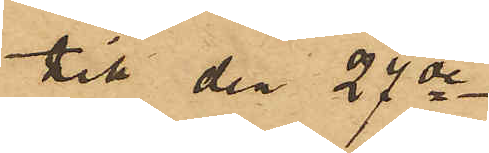till den 27de 
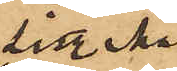sist. Mai
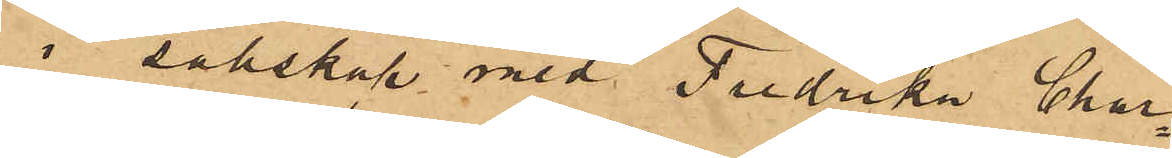i sällskap med Fredrika Char¬
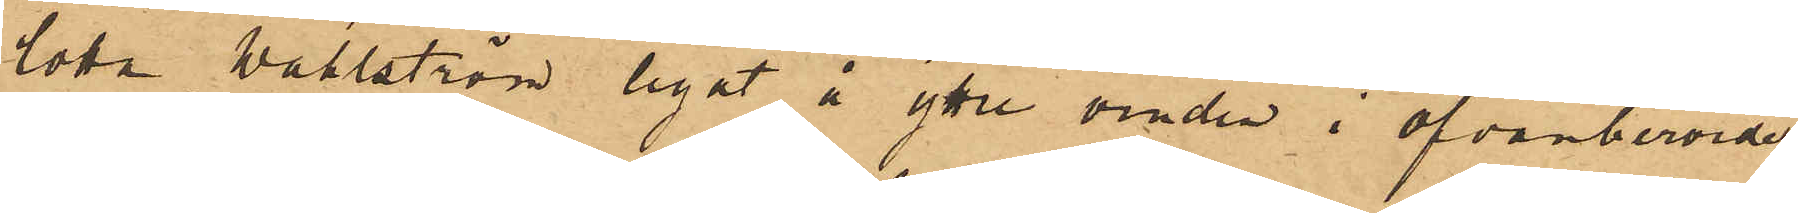lotta Wahlström legat å yttre vinden i ofvanberörde
